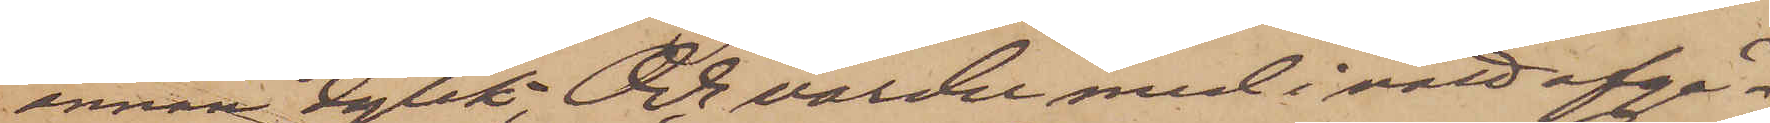annan dylik; Och varder med i natt afgå¬
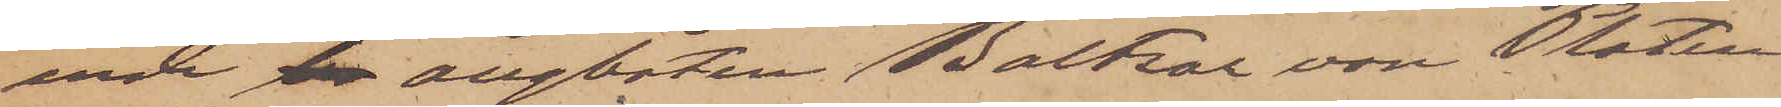ende ba ångbåten Baltzar von Platen
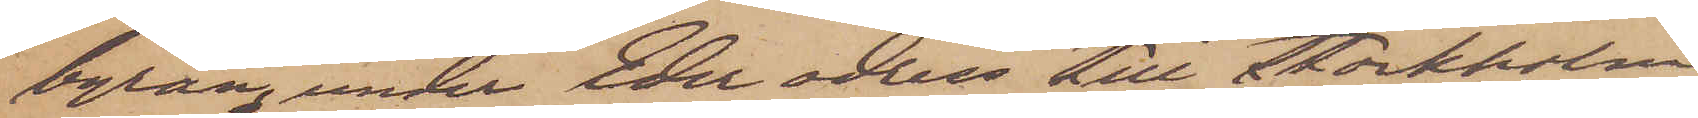byrån, under Eder adress till Stockholm
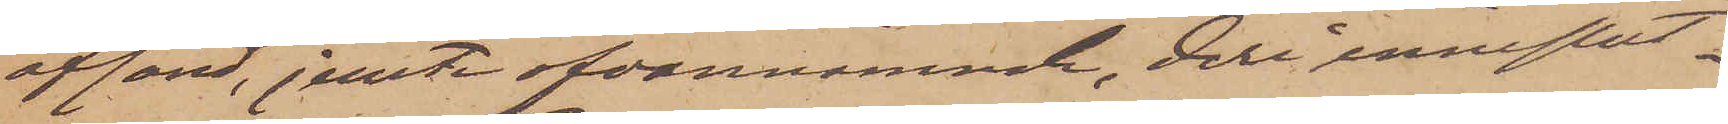afsänd, jemte ofvannämnde, deri inneslut¬
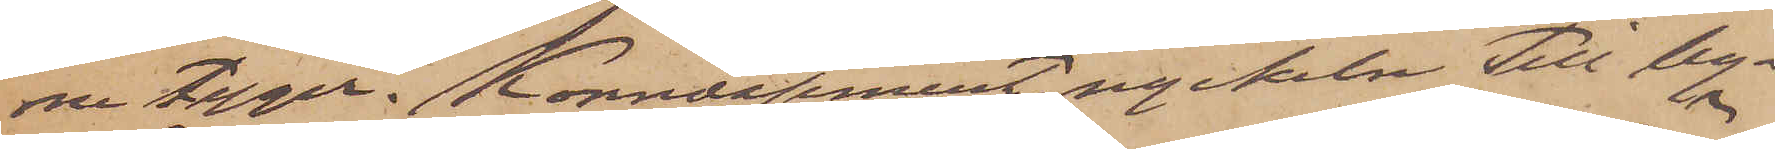na tyger. Konnossement, nyckeln till by¬
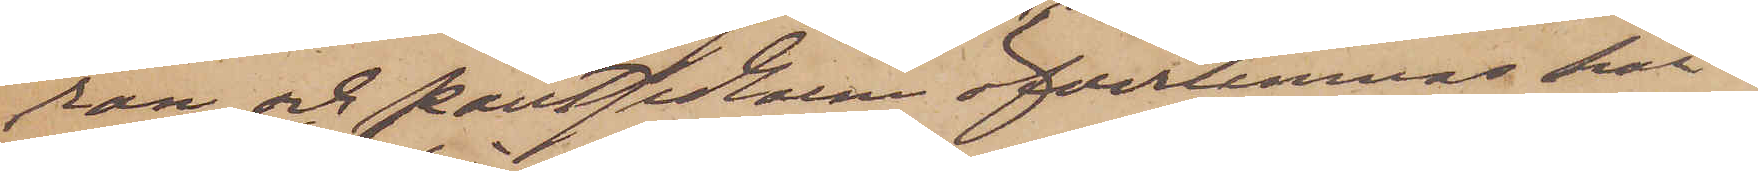rån och pantsedlarna öfverlemnas här¬
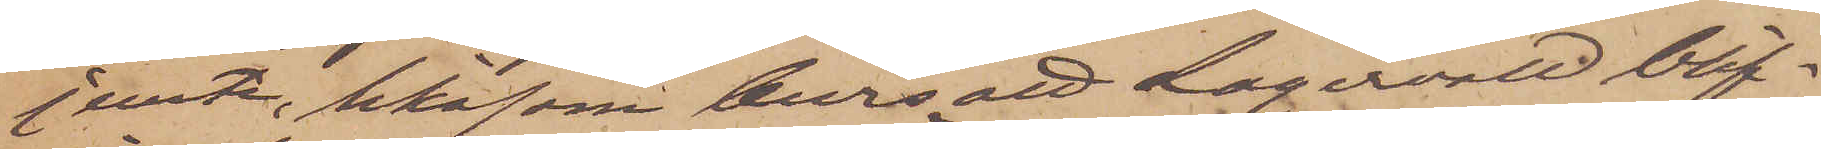jemte, likasom bevis att Lagervall blif¬
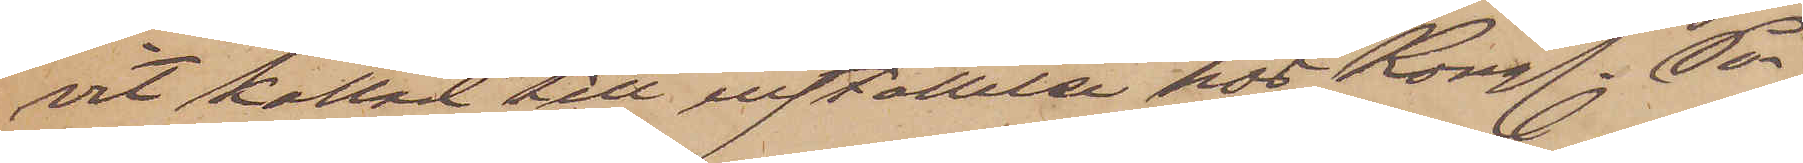vit kallad till inställelse hos Kongl. Po¬
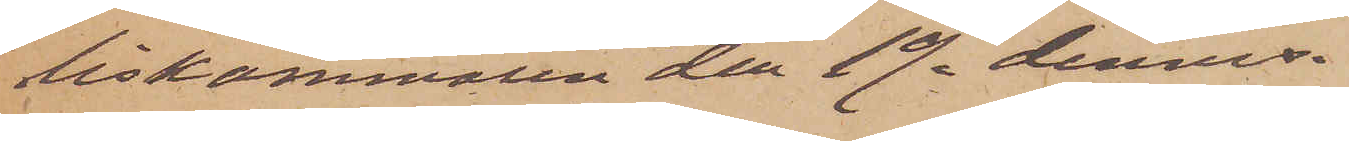liskammaren den 19. dennes.
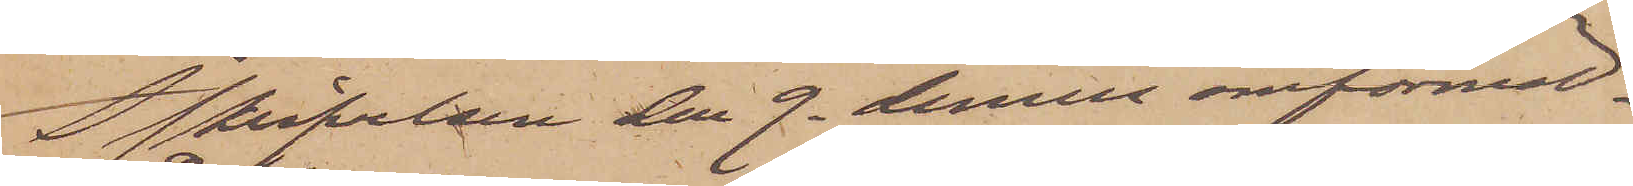I skrifvelsen den 9. dennes omförmäl¬
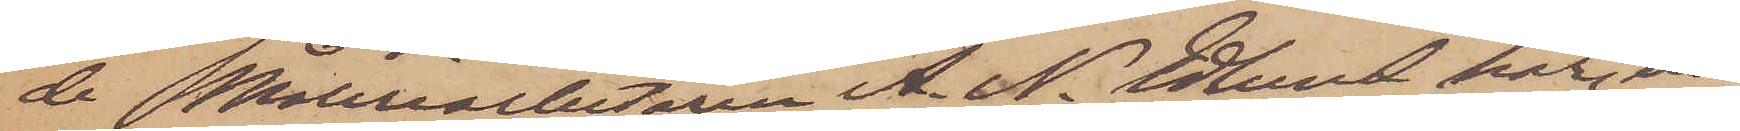de Måleriarbetaren A. N. Edlund har, en¬
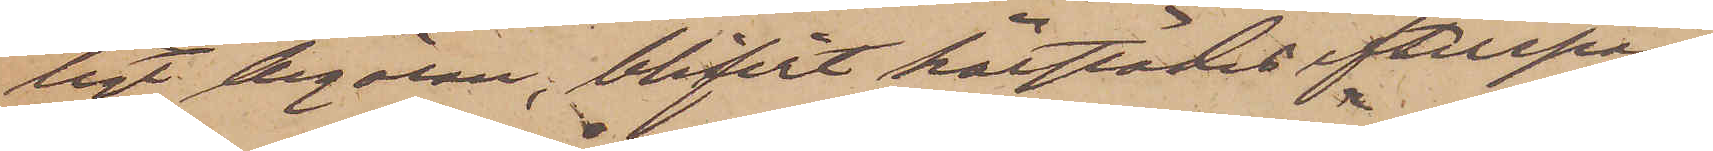ligt begäran, blifvit härstädes efterspa¬
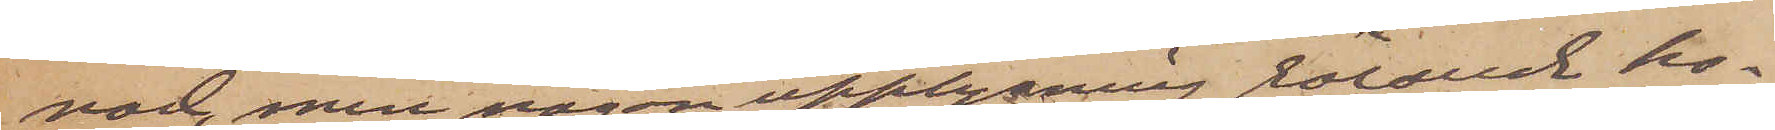nad, men någon upplysning rörande ho¬
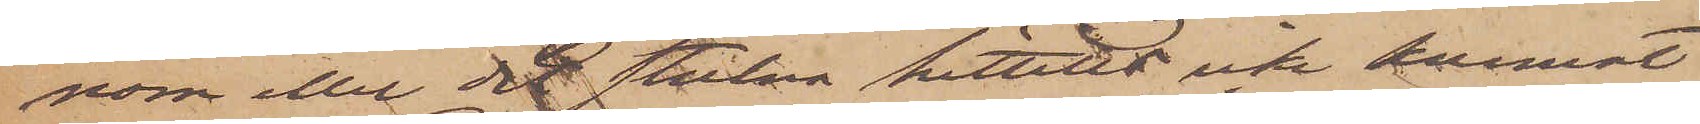nom eller det stulna hittills icke kunnat
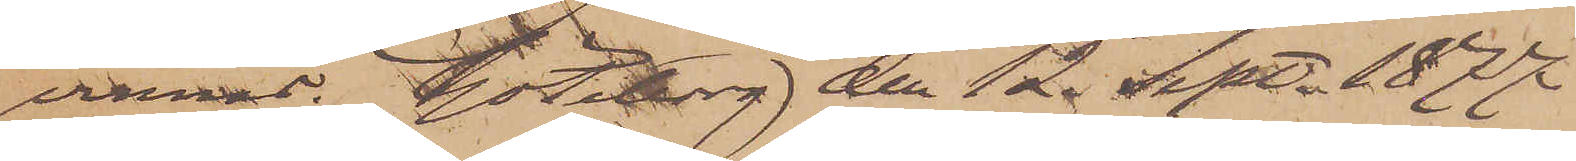vinnas. Göteborg den 12. Sept. 1877
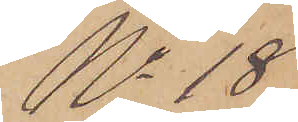No 18
